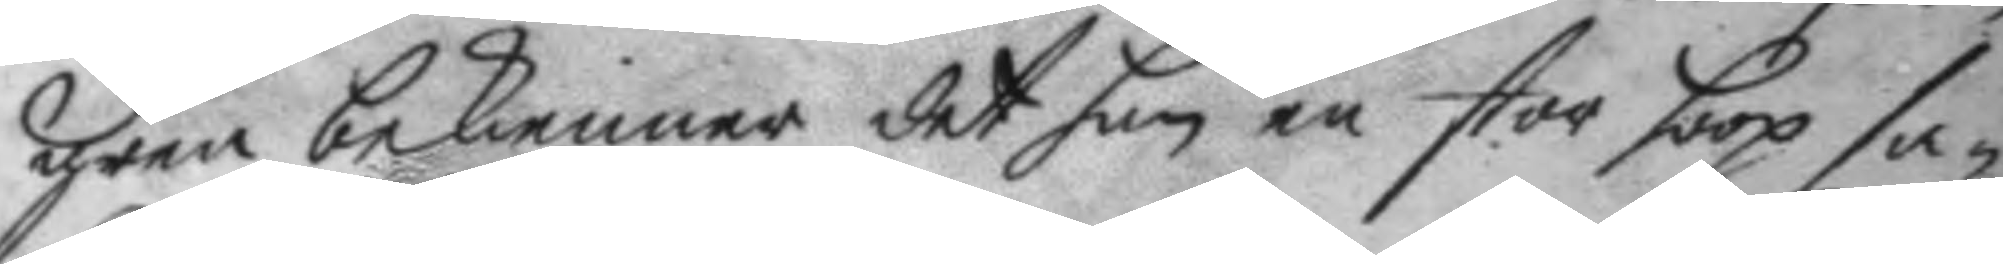gren bekienner det han en stor hoop sa¬
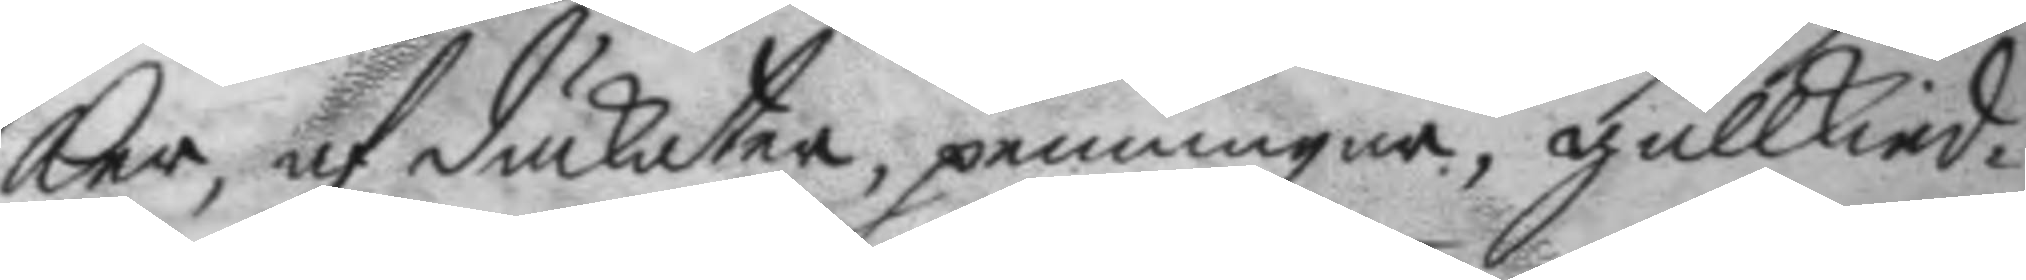ker, af dukater, penningar, gullkied¬
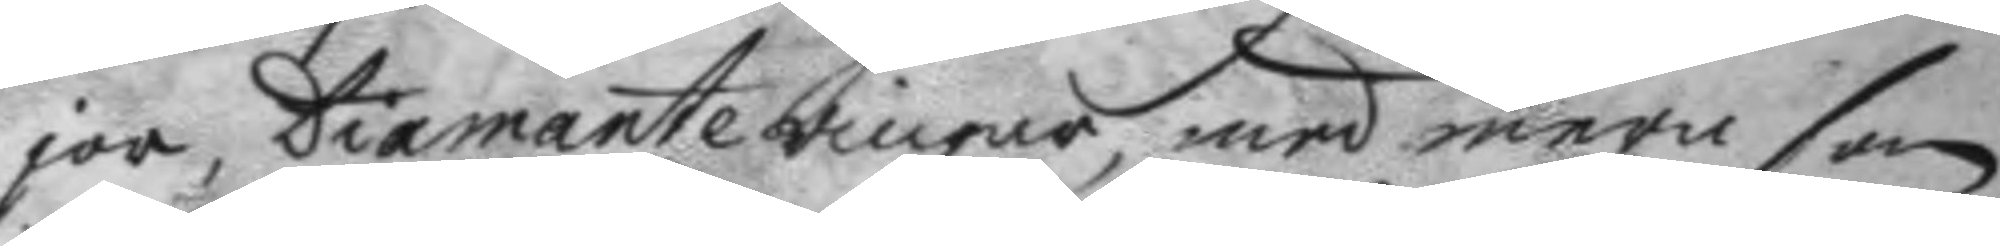jor, Diamanteringar, med mera som
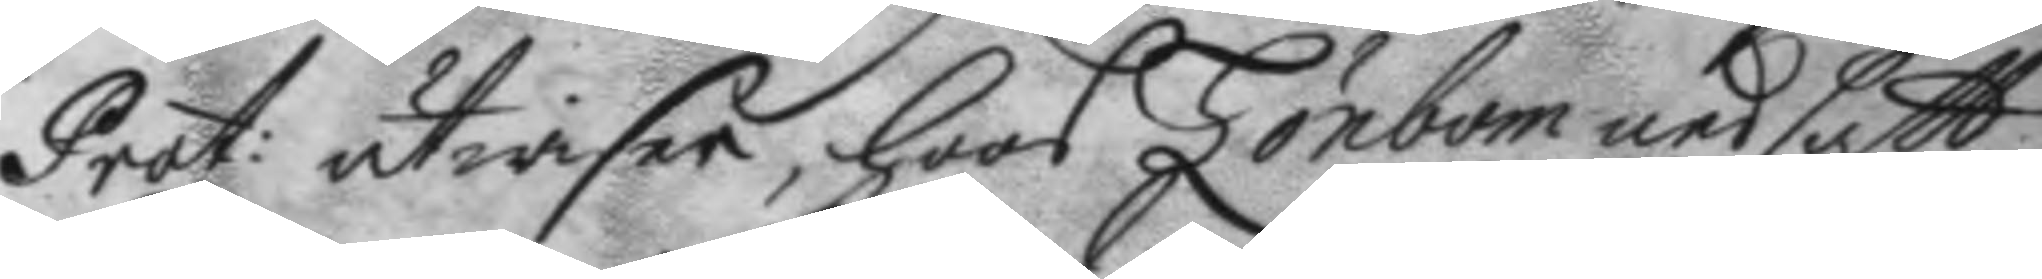Prot: utwisar, hoos Lönbom nedsatt;
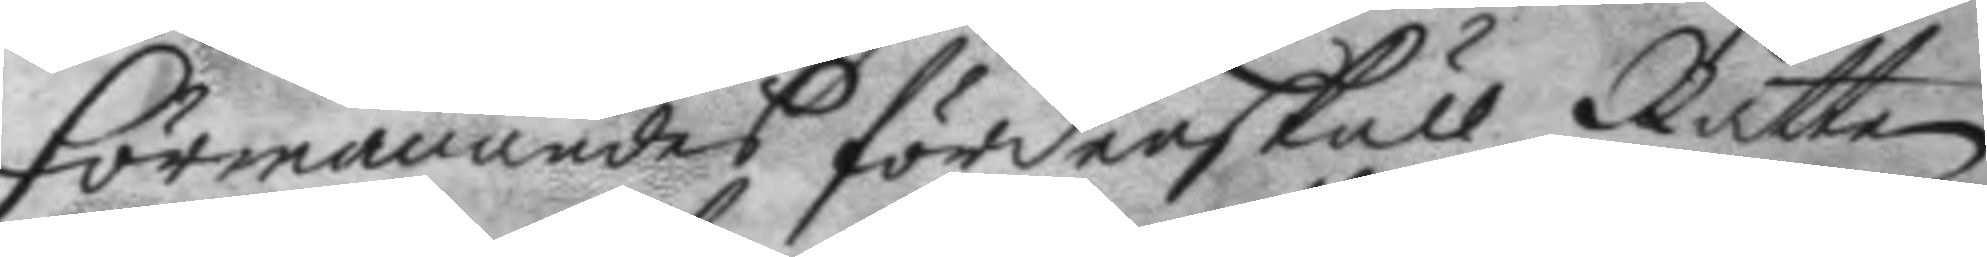Förmanandes fördenskull Rätten
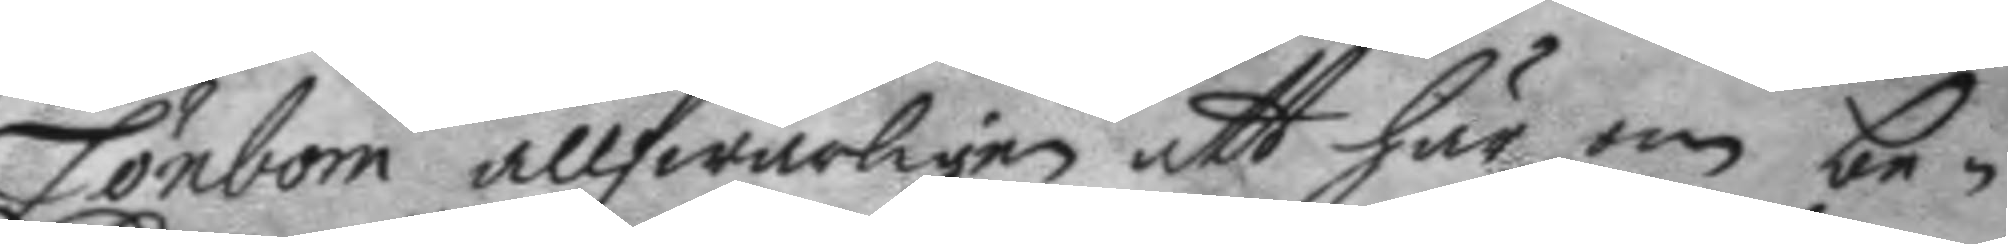Lönbom allfwarligen att här om be¬
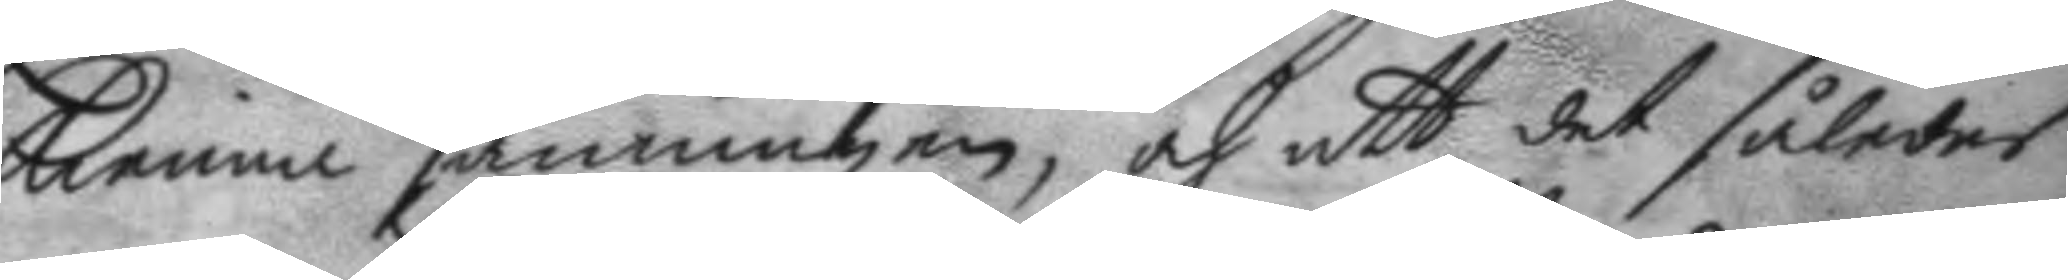kienna sanningen, och att det således
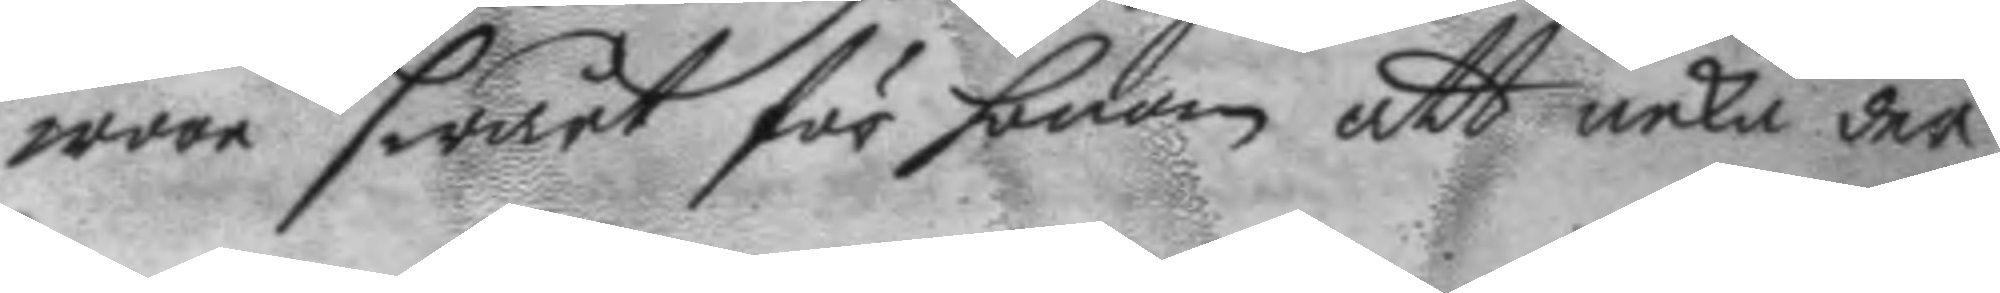wara swårt för honom att neka der
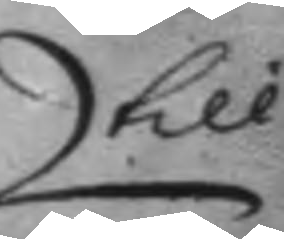till
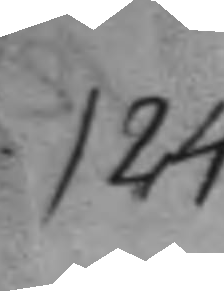124.
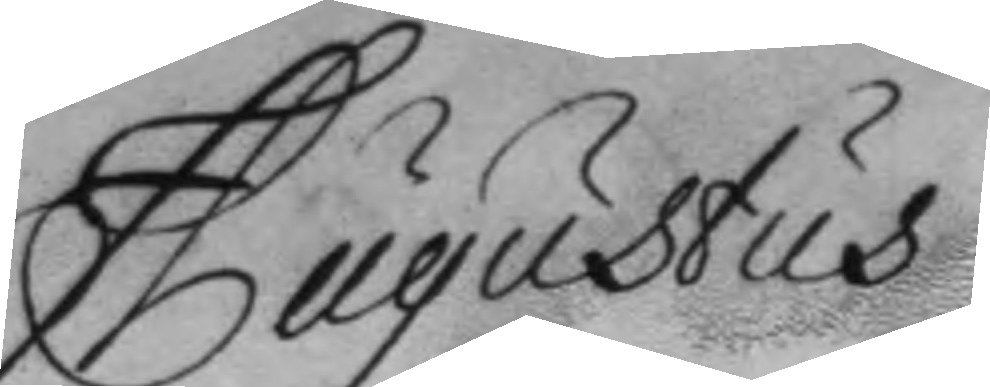Augustus
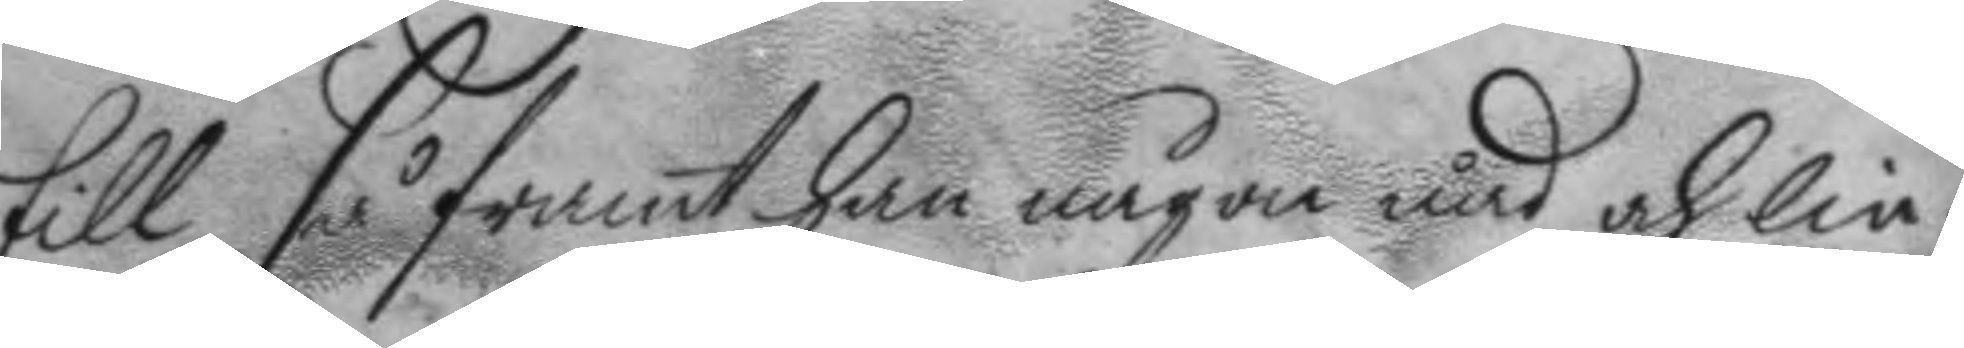till, så framt han någon nåd och lin¬
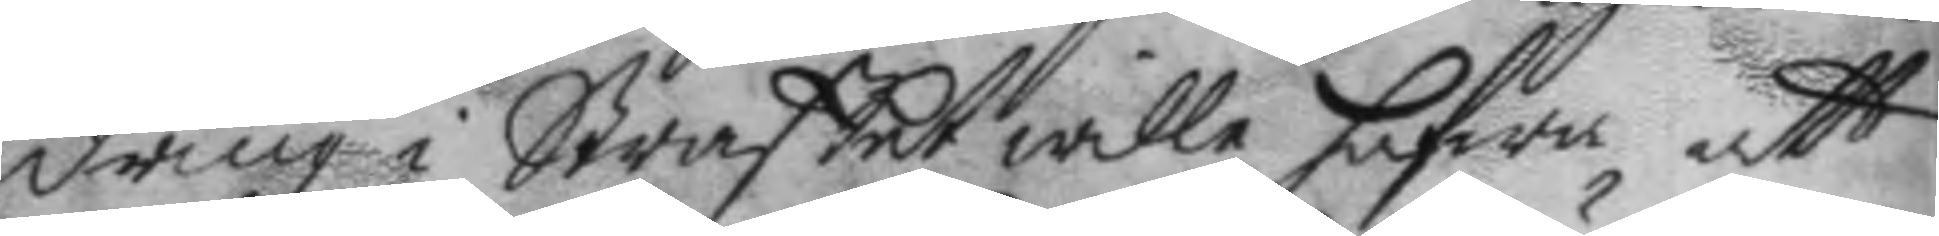dring i Straffet wille hafwa att
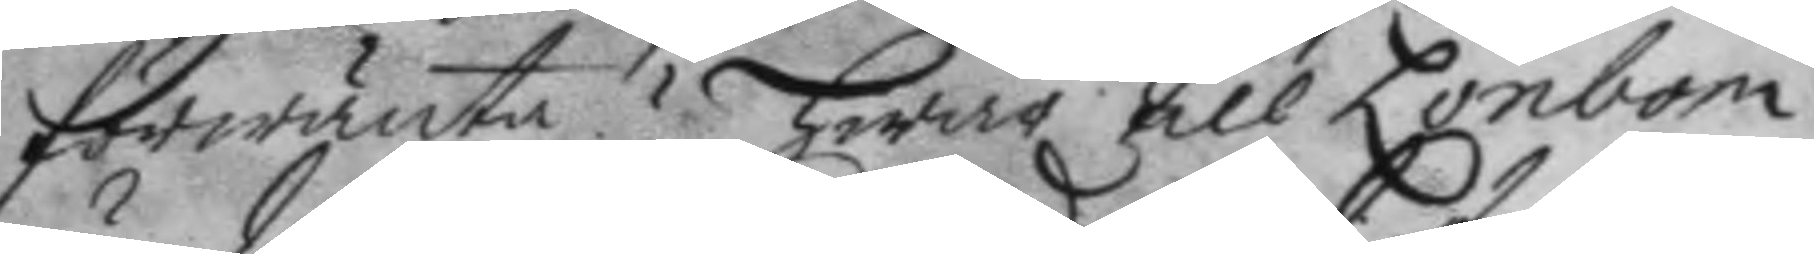förwänta? hwar till Lönbom
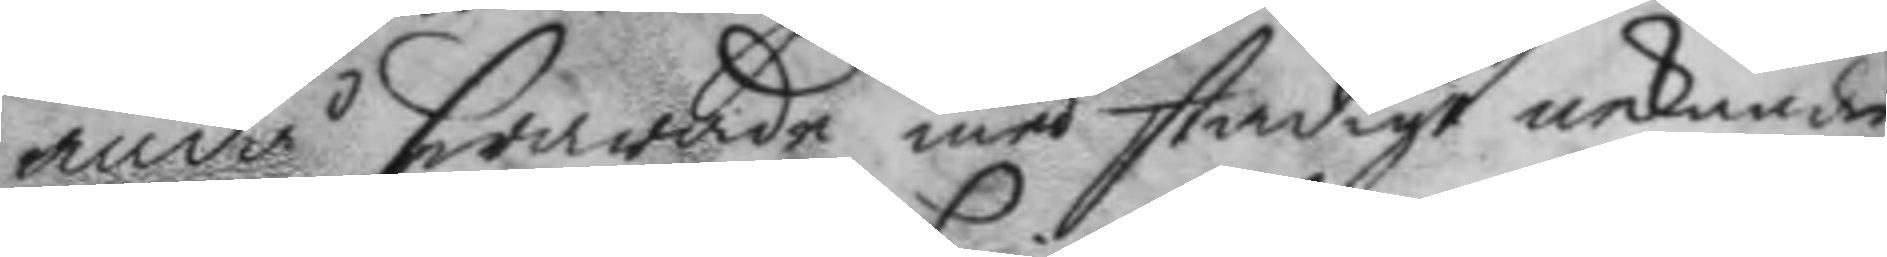ändå swarade med stadigt nekande
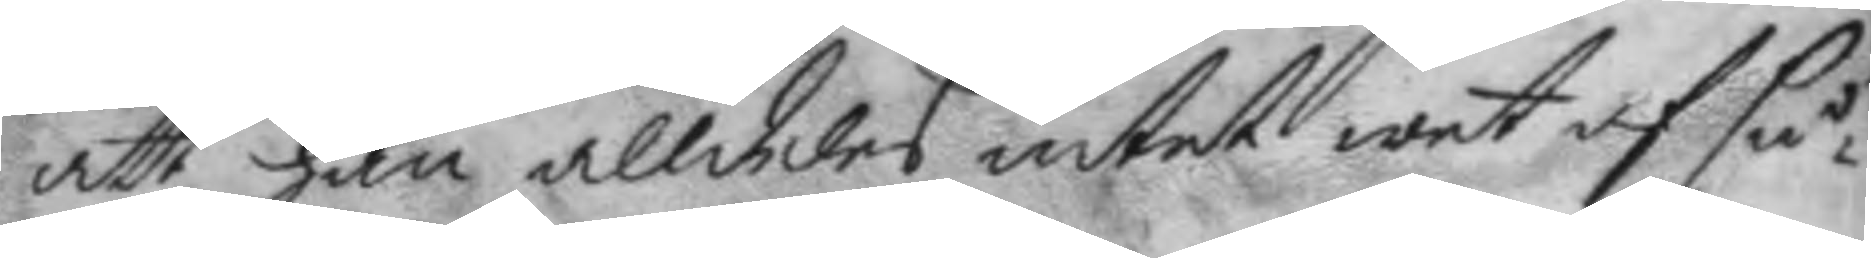att han alldeles intet wet af så¬
